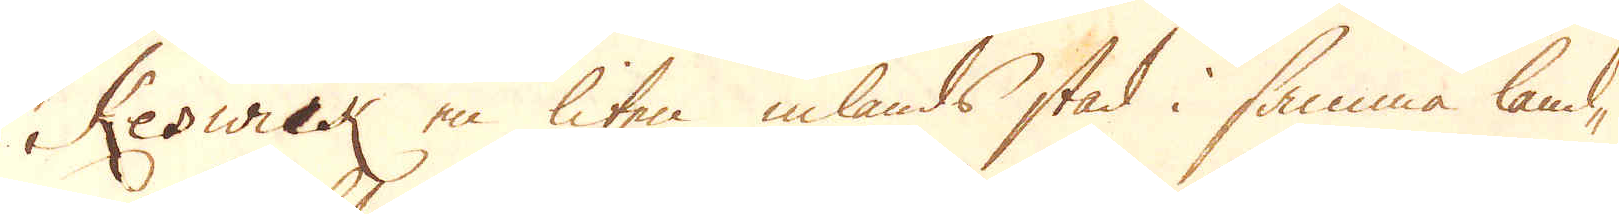Keswick en liten inlands stad i samma land-
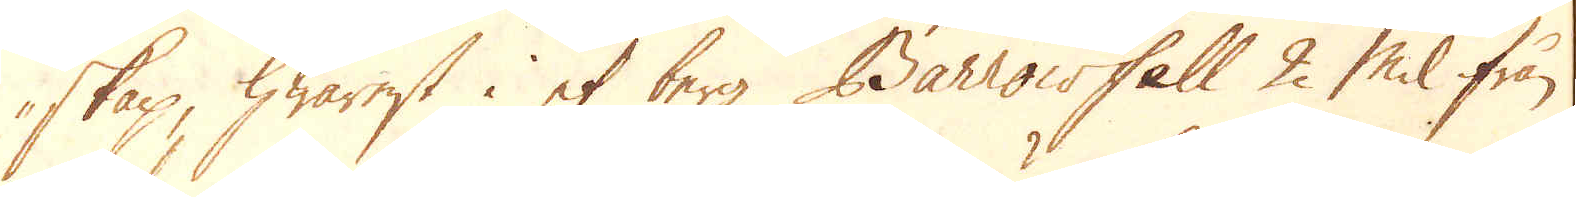skap, hwarest i et berg Barrowfell 2 Mil ifrån
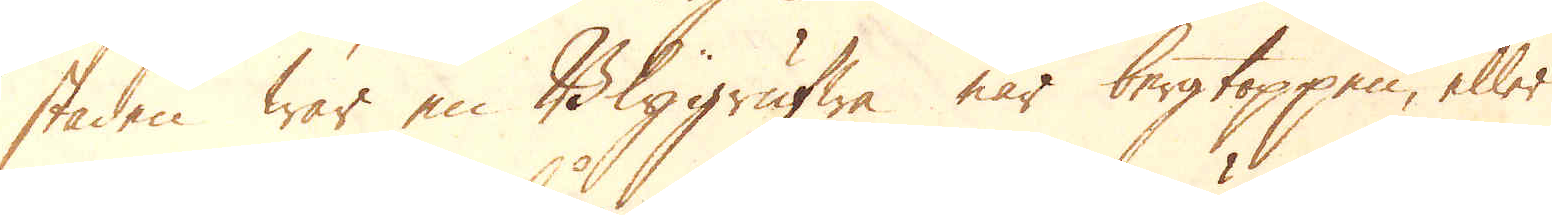staden war en Blygrufwa när bergtoppen, eller
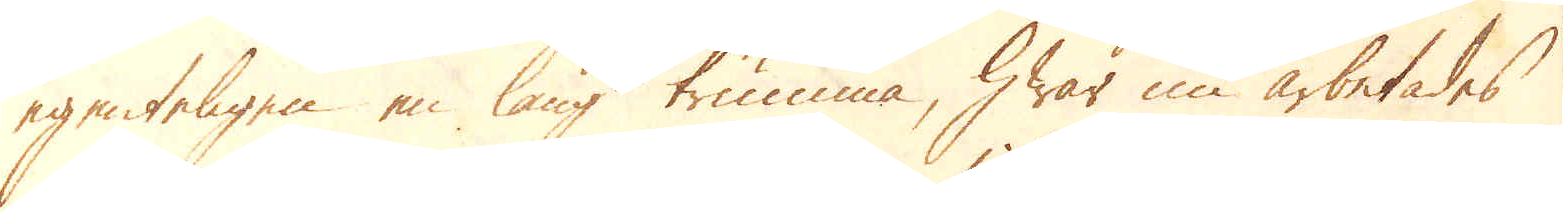egenteligen en lång trumma, Hwar nu arbetades
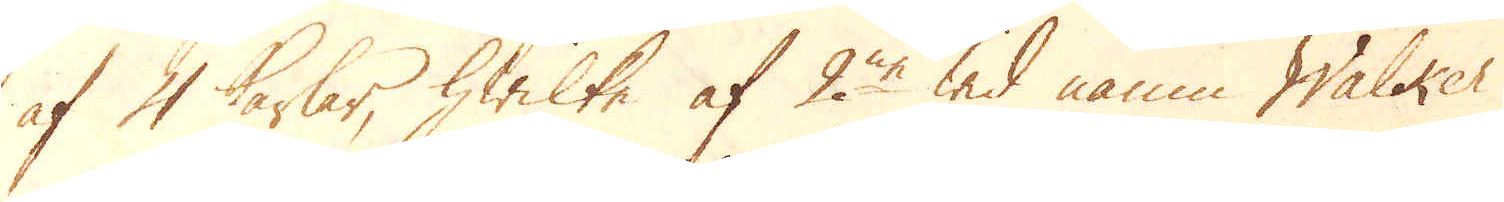af 4 karlar, hwilka af 2ne wid namn Walker
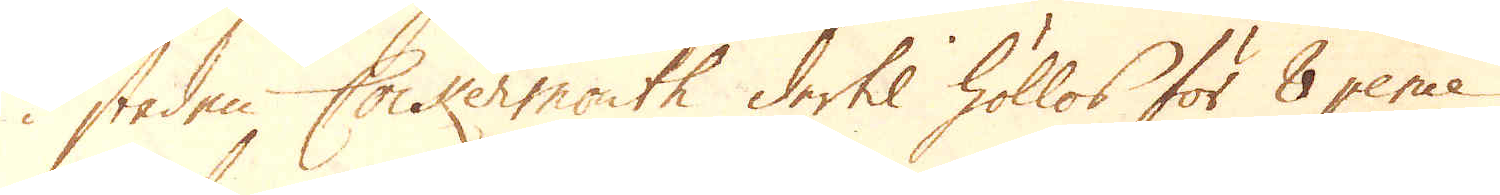i staden Cockermouth dertil höllos för 8 pence
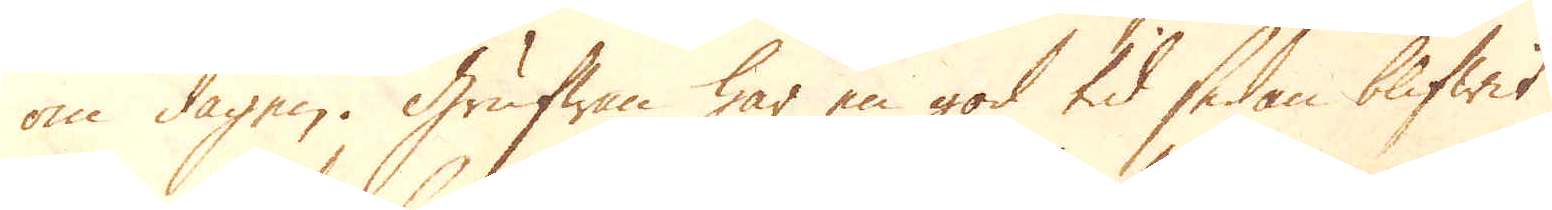om dagen. Grufwan har en god tid sedan blifwit
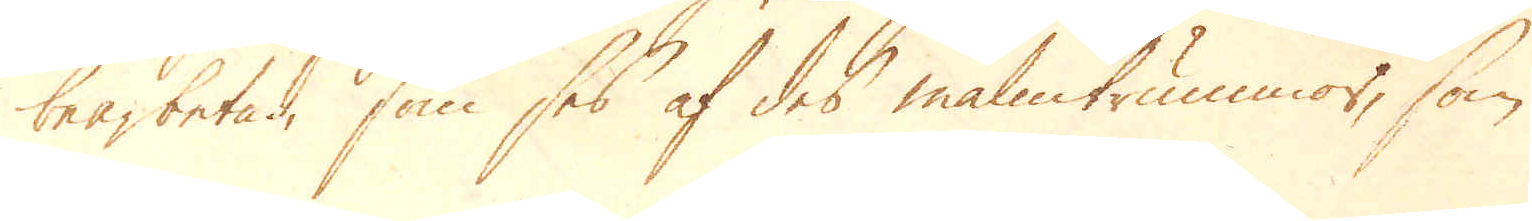bearbetad, som ses af des malmtrummor, som
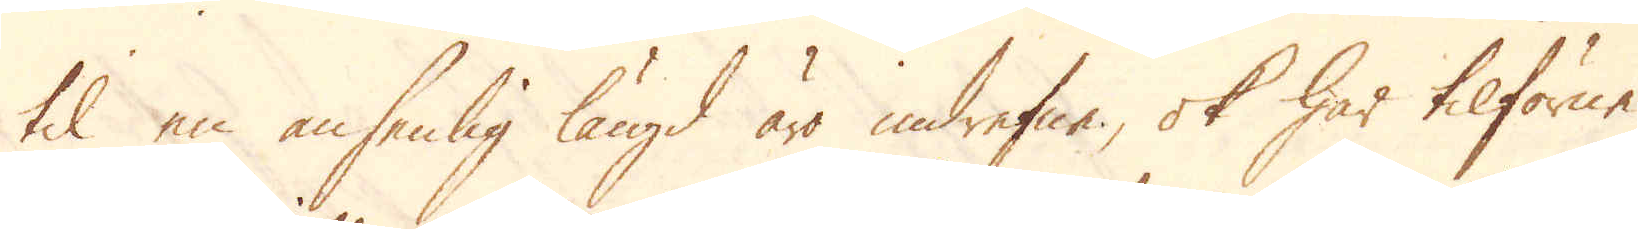til en ansenlig längd äro indrefne, ok har tilförne
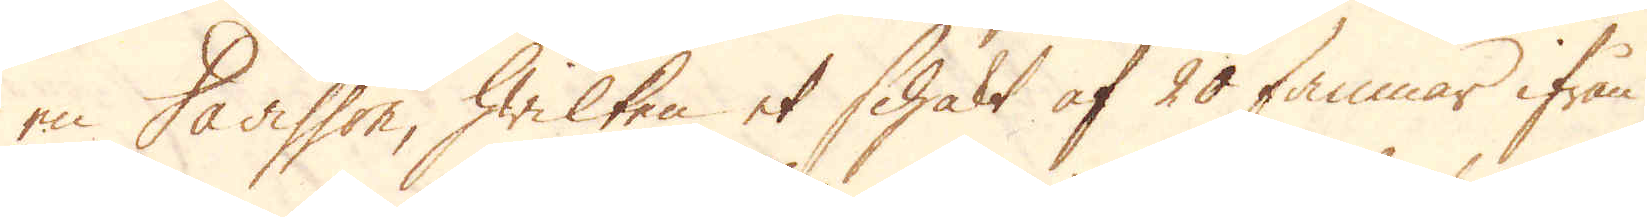en Davisson, hwilken et Schakt af 20 famnar ifrån
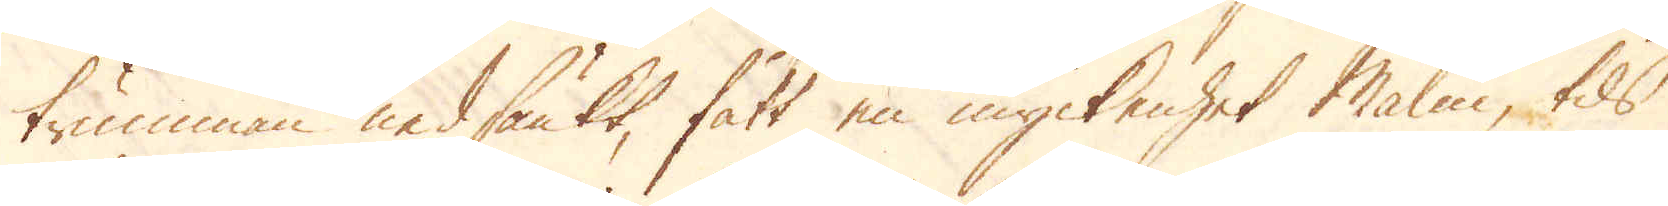trumman nedsänkt, fått en myckenhet Malm, tils
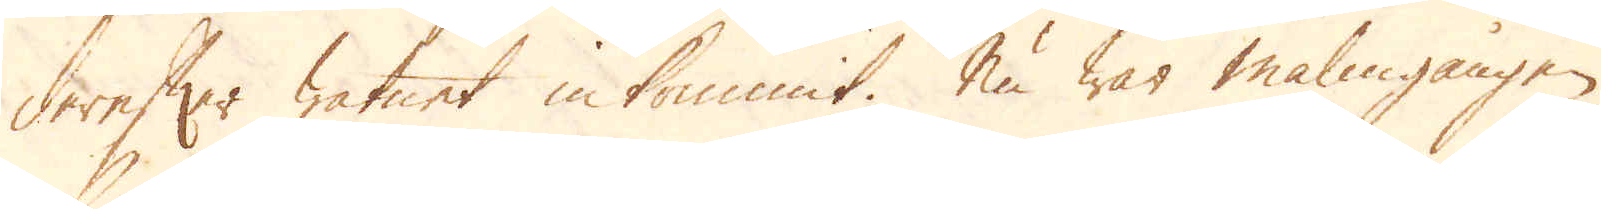derefter watnet inkommit. Nu war malmgången
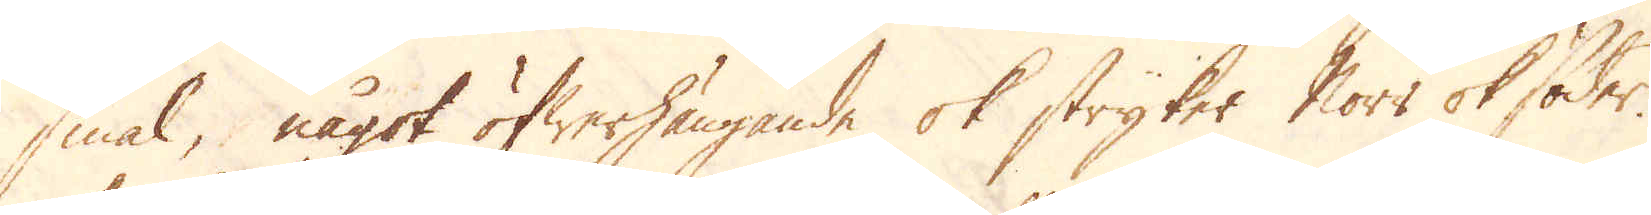smal, något öfwerhängande ok stryker Norr ok Söder.
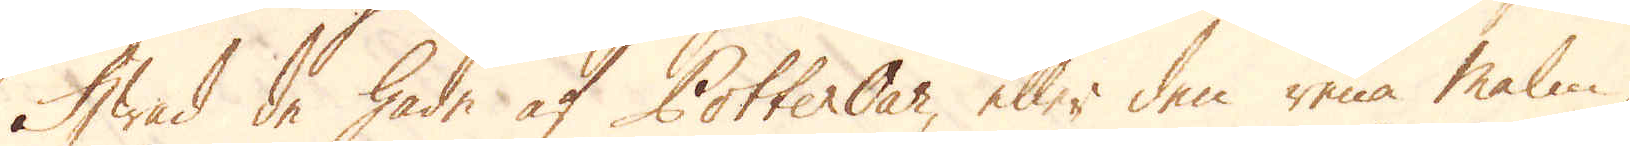Hwad de hade af Potter Oar, eller den rena malm,
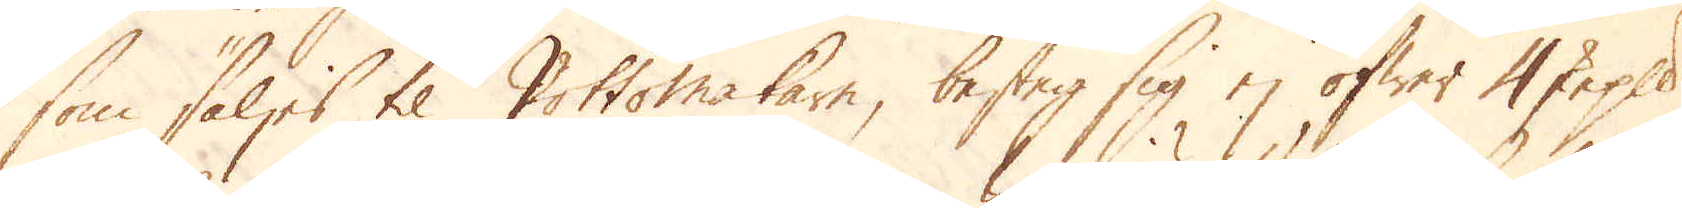som säljes til Pottormakare, besteg sig ej öfwer 4 skeppund
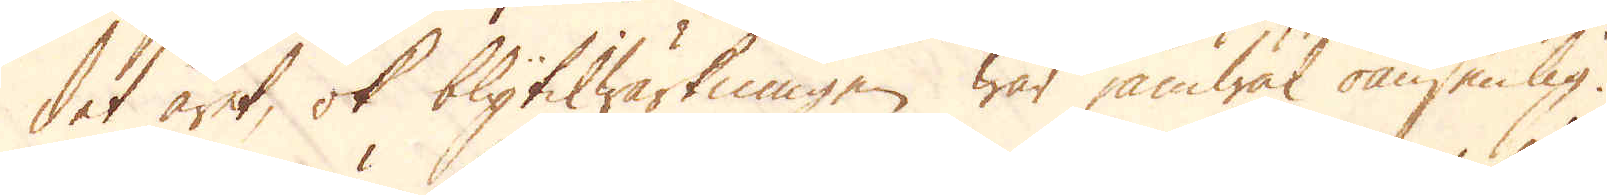det året, ok blytilwärkningen war jämwäl oansenlig.
